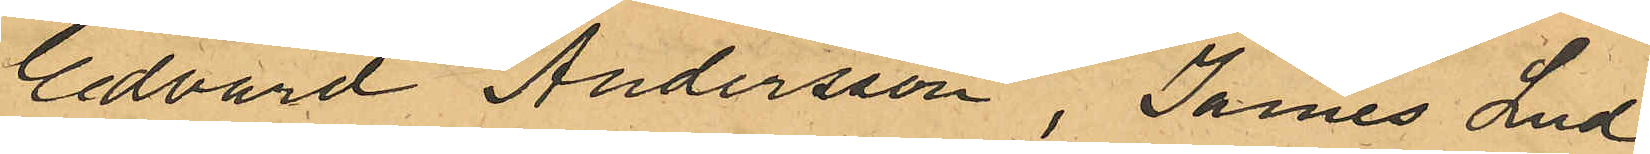Edvard Andersson, James Lud
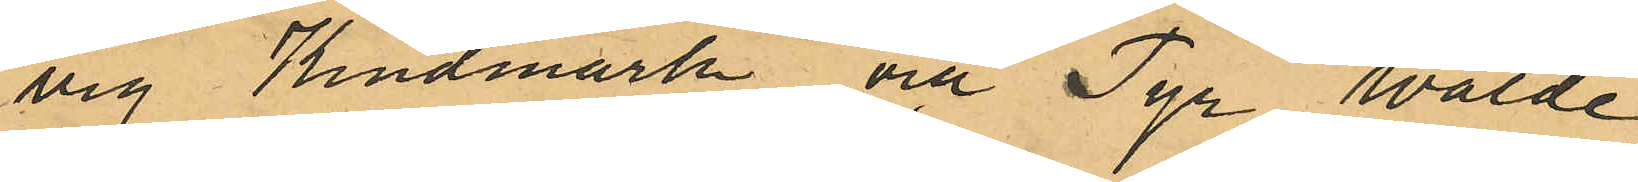vig Kindmark och Tyr Walde
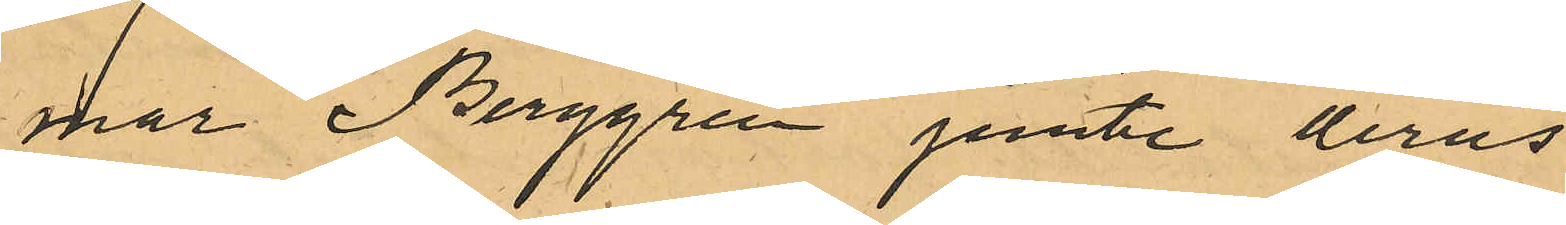mar Berggren jemte deras
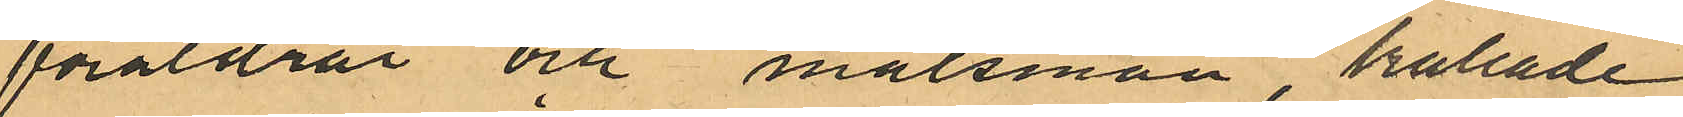föräldrar och målsmän, kallade
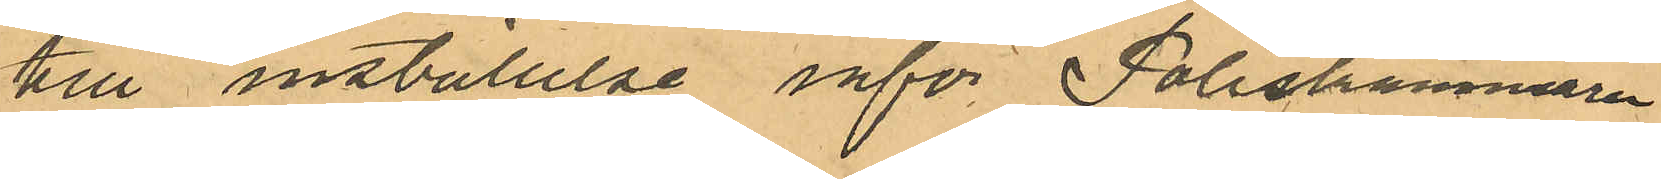till inställelse inför Poliskammaren
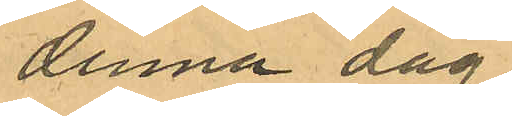denna dag.
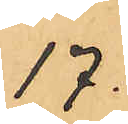17.
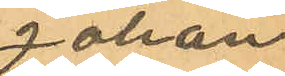Johan
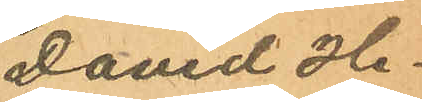David He¬
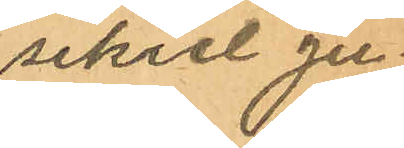sekiel Ju¬
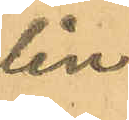lin.
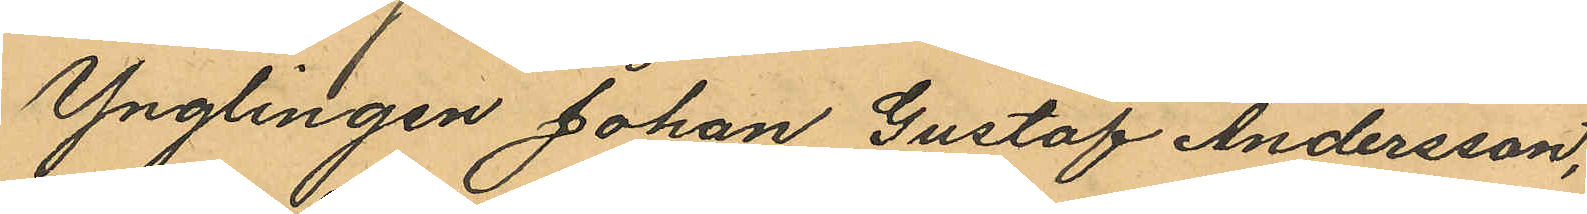Ynglingen Johan Gustaf Andersson,
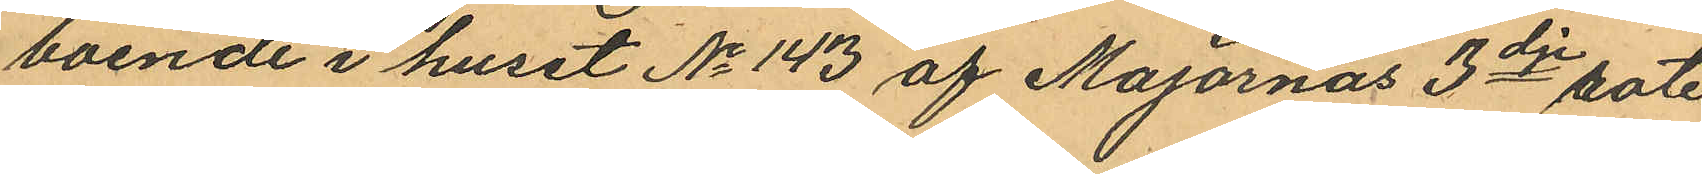boende i huset No 143 af Majornas 3dje rote
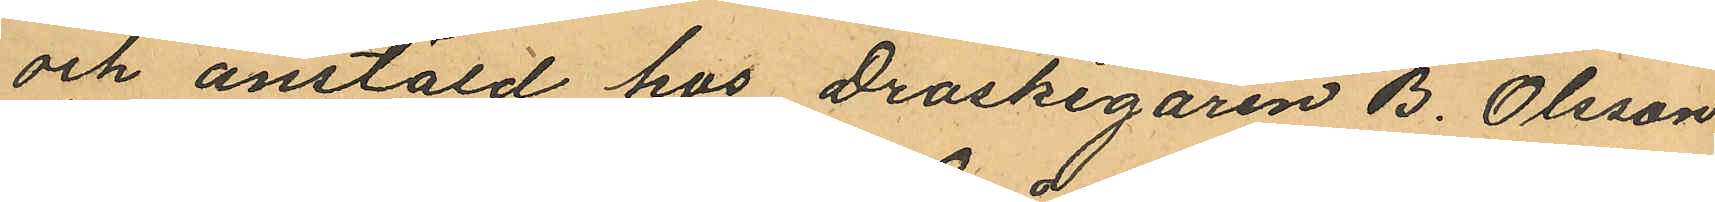och anstäld hos Droskegaren B. Olsson
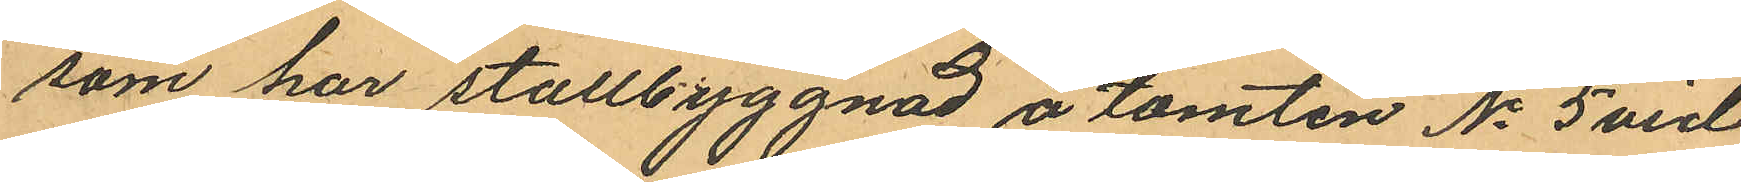som har stallbyggnad å tomten No 5 vid
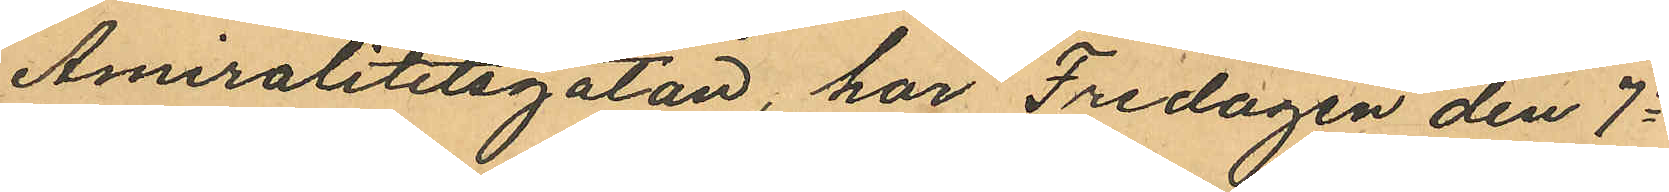Amiralitetsgatan, har Fredagen den 7e
